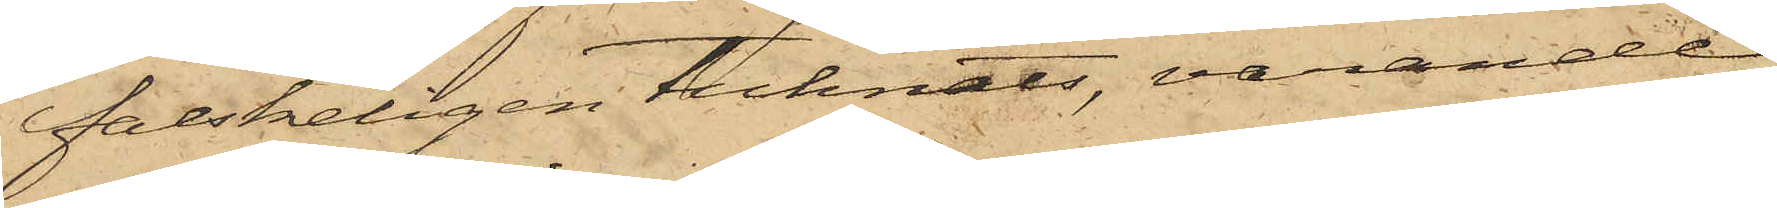falskeligen tecknats, varande
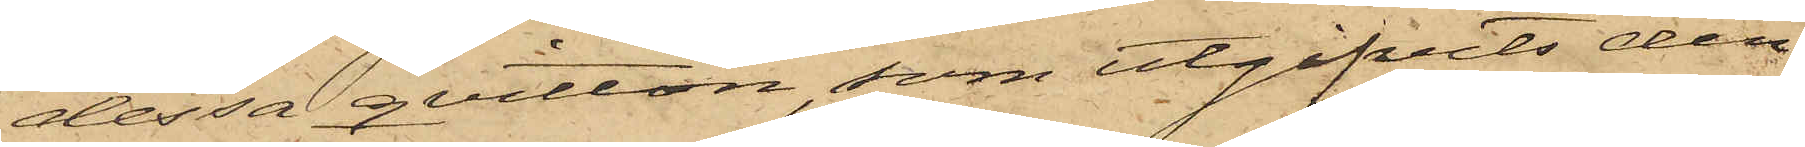dessa qvitton, som utgifvits den
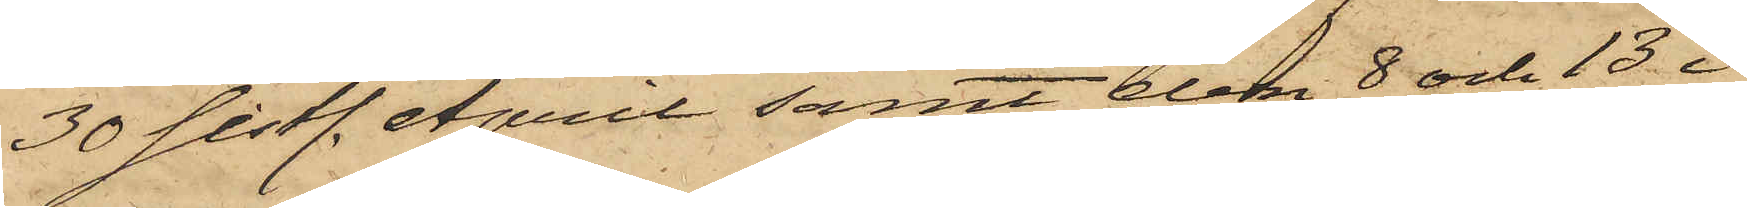30 sistl. April samt den 8 och 13 i
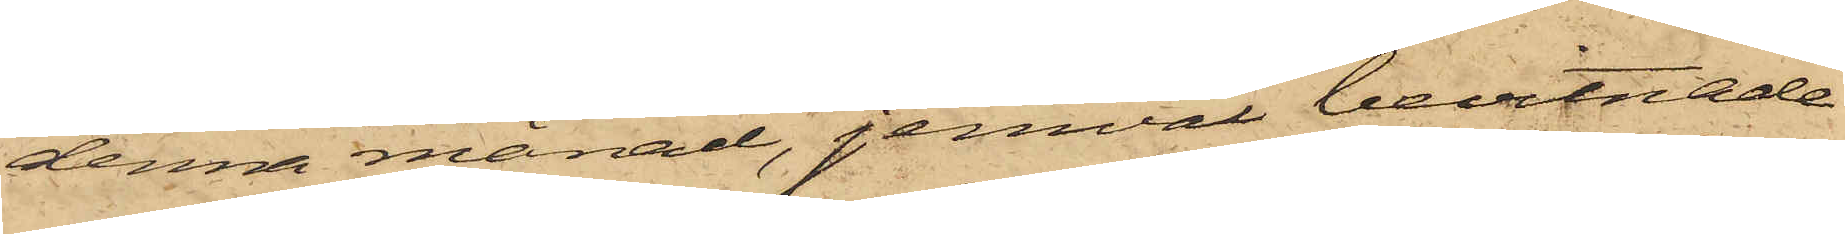denna månad, jemväl bevitnade
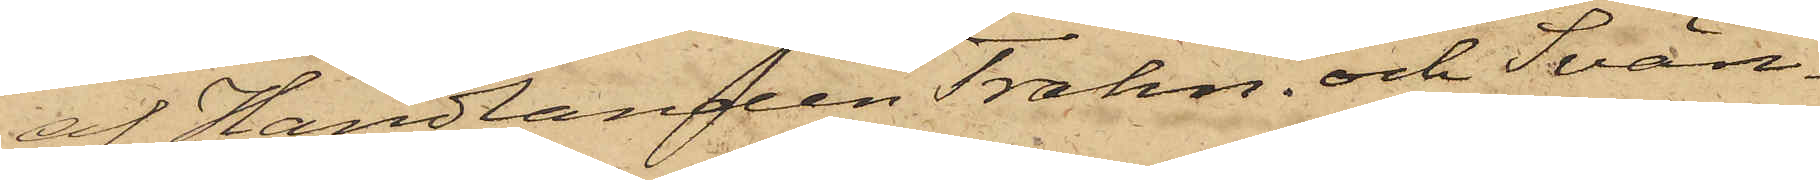af Handlanden Trahn, och Svän¬
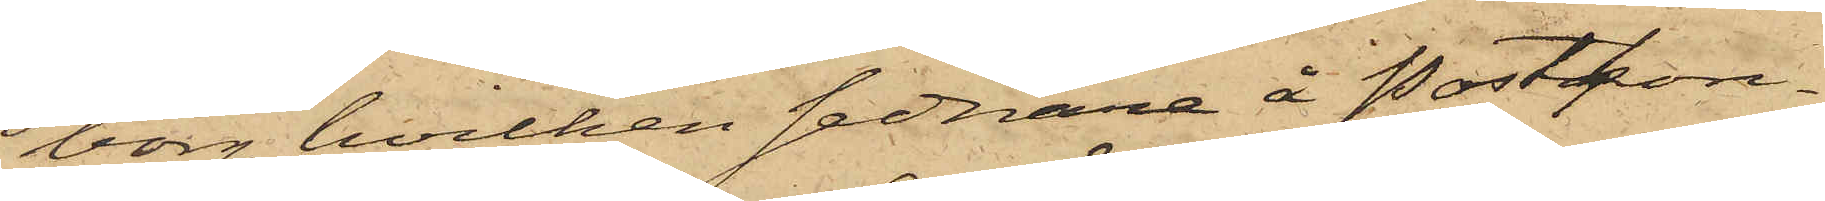borg, hvilken sednare å Postkon¬
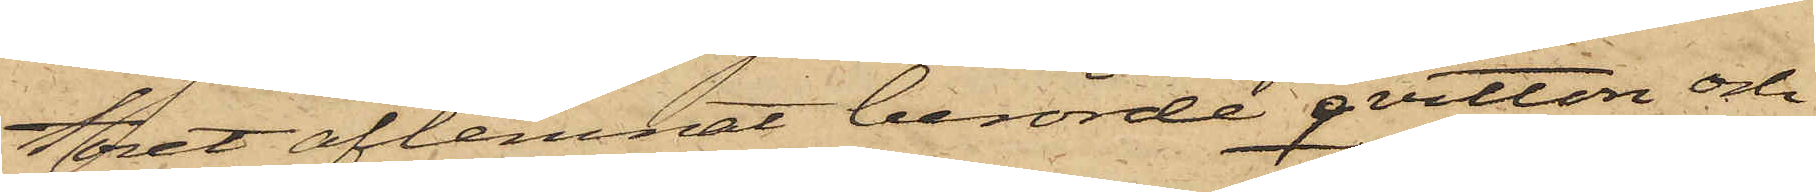toret aflemnat berörde qvitton och
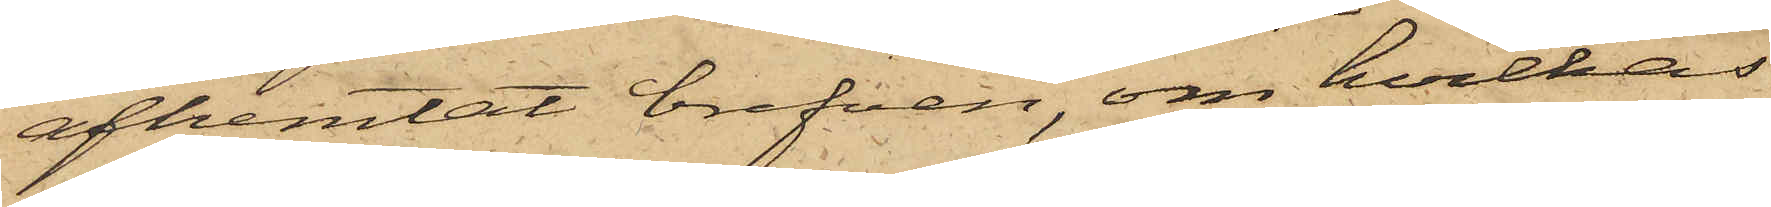afhemtat brefven, om hvilkas
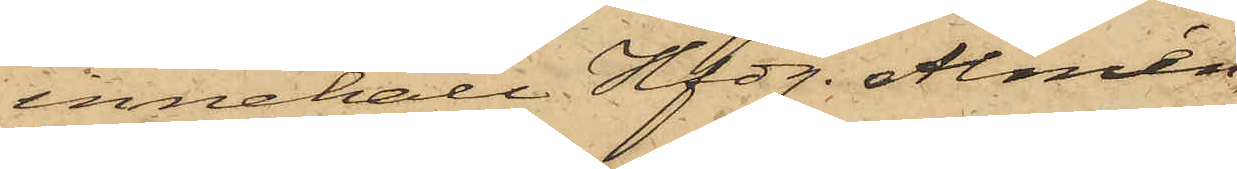innehåll Hfdg. Almén,
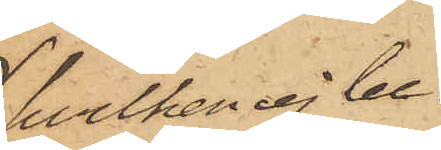hvilken ej be¬
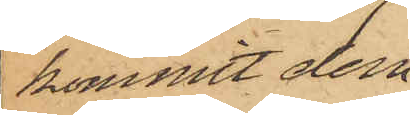kommit desa
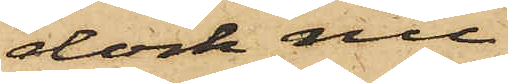dock nu
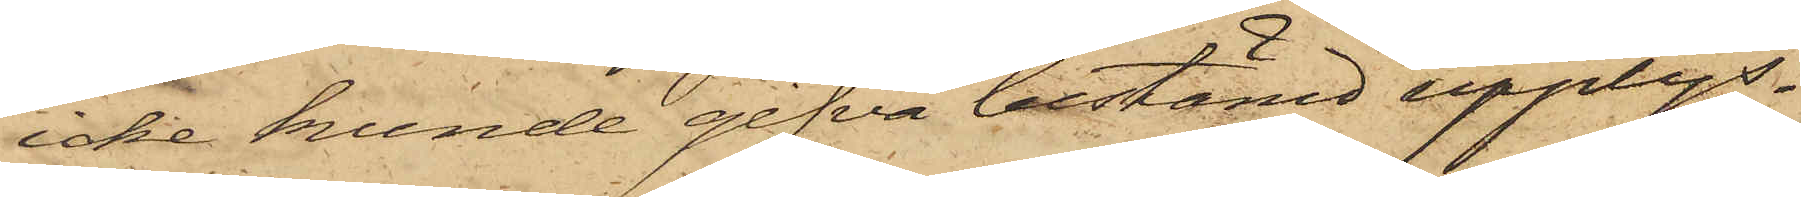icke kunde gifva bestämd upplys¬
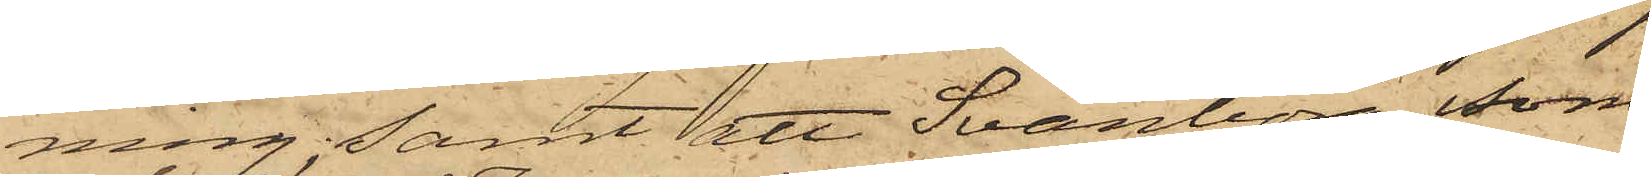ning; samt att Svänborg, som
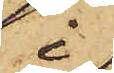i
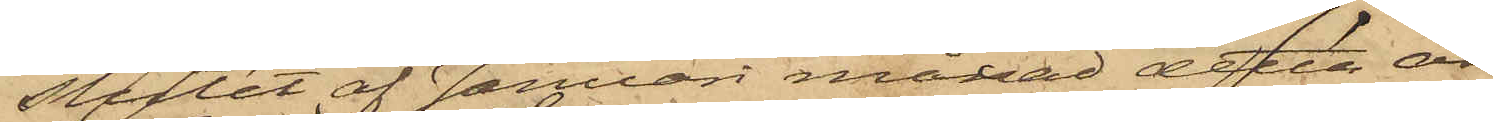slutet af Januari månad detta år
